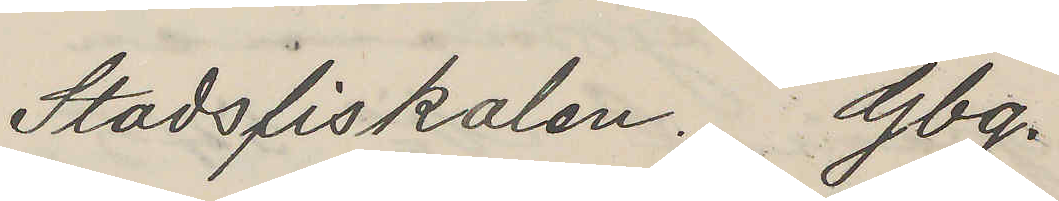Stadsfiskalen. Gbg.
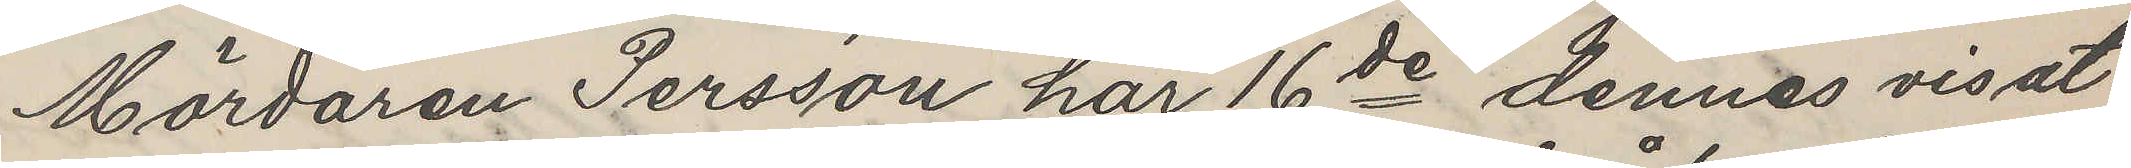Mördaren Persson har 16de dennes visat
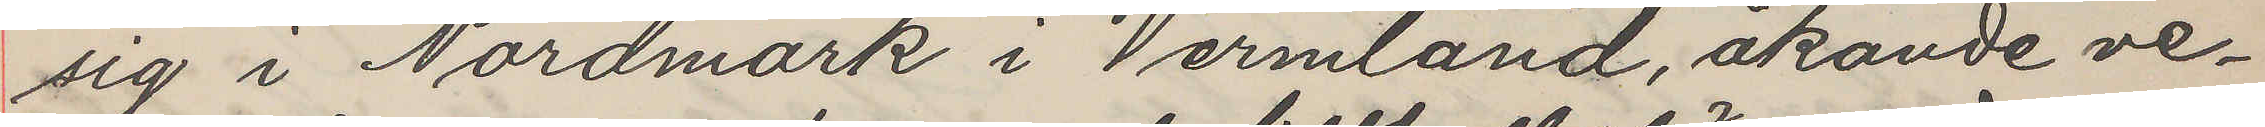sig i Nordmark i Vermland, åkande ve¬
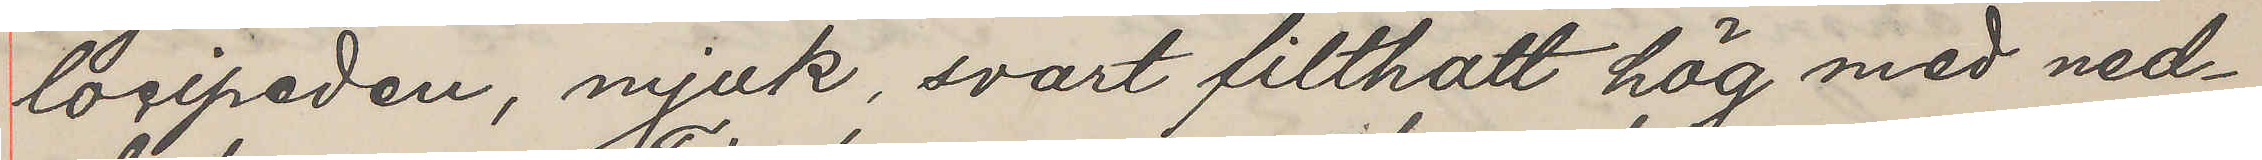locipeden, mjuk, svart filthatt hög med ned¬
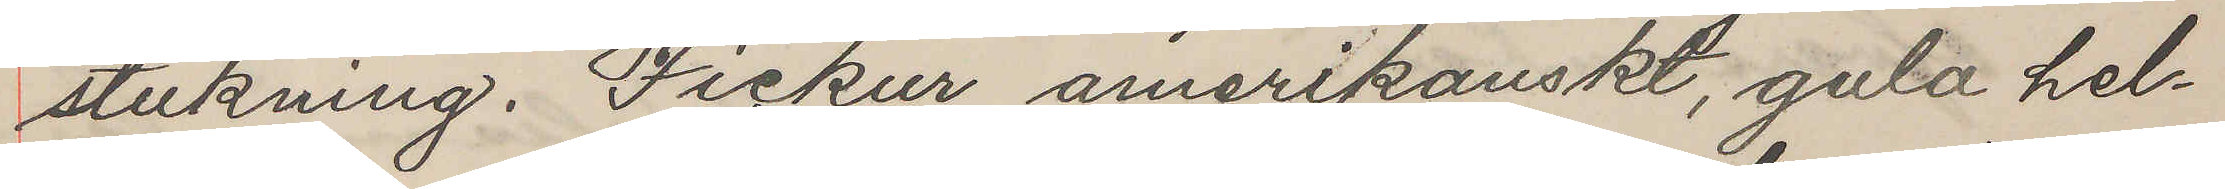stukning. Fickur amerikanskt, gula hel¬
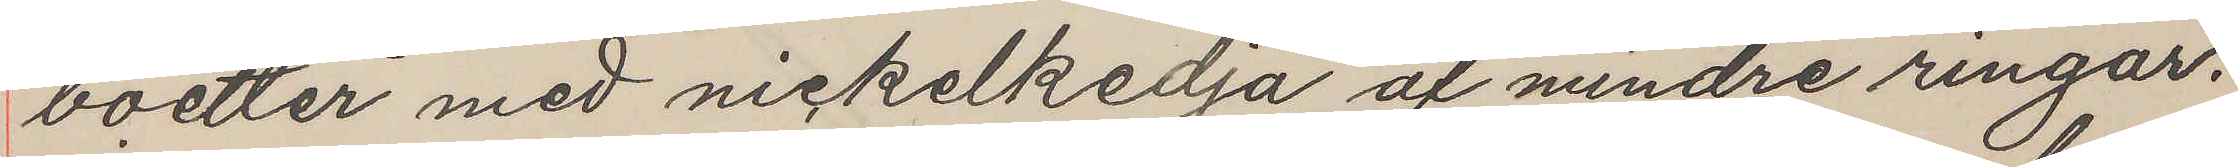boetter med nickelkedja af mindre ringar.
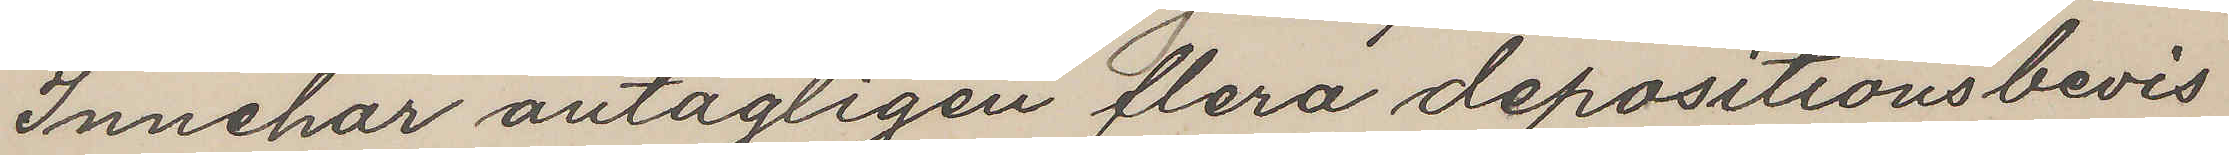Innehar antagligen flera depositionsbevis
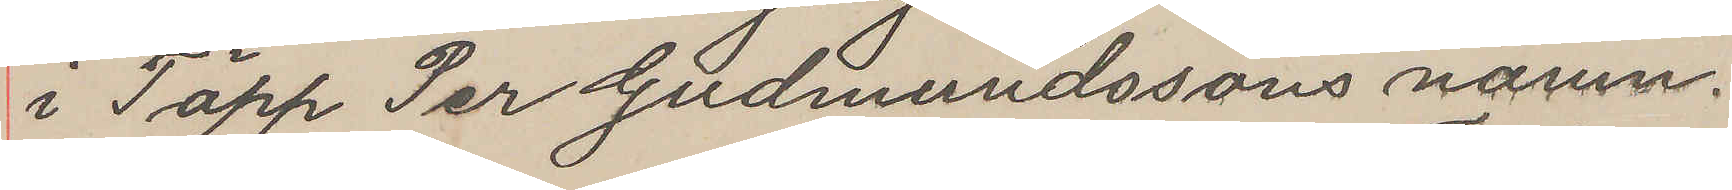i Täpp Per Gudmundssons namn.
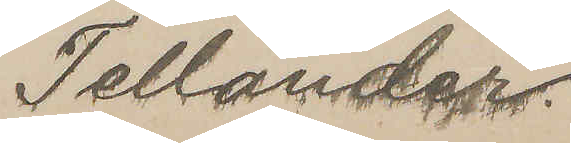Tellander.
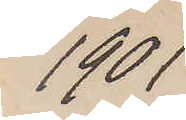1901
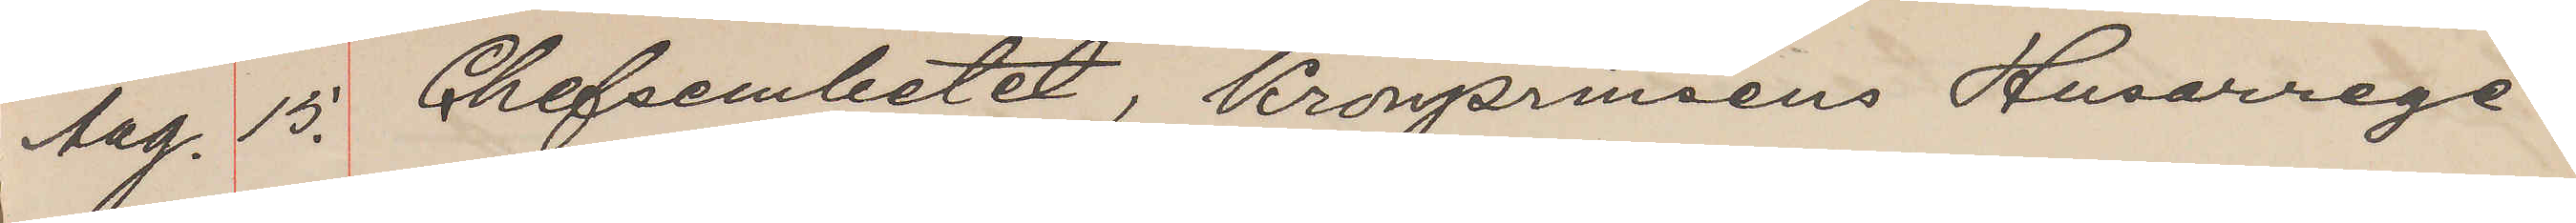Aug. 15. Chefsembetet, Kronprinsens Husarrege¬
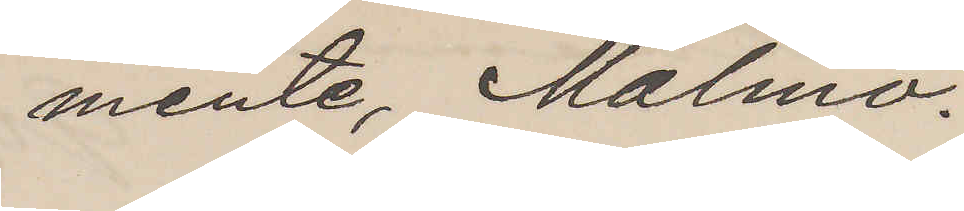mente, Malmö.
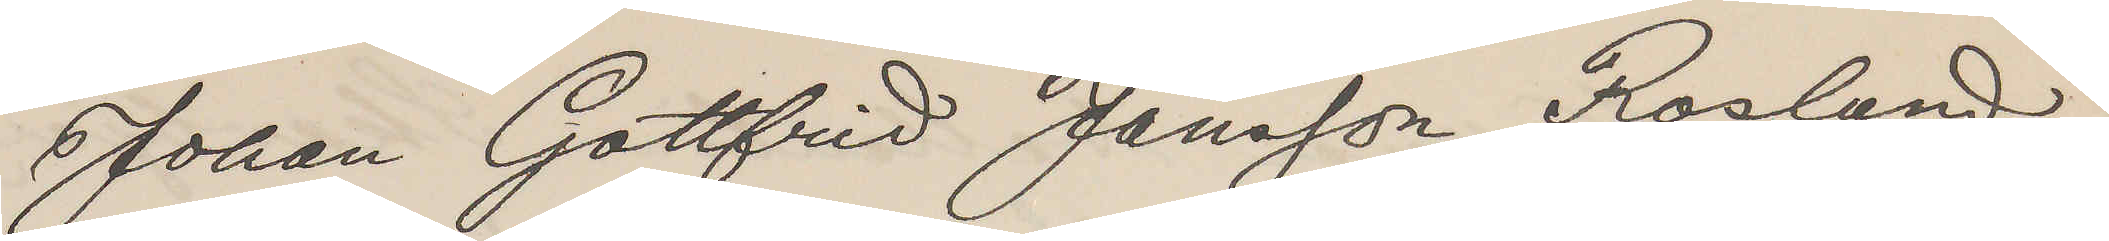Johan Gottfrid Jansson Roslund,
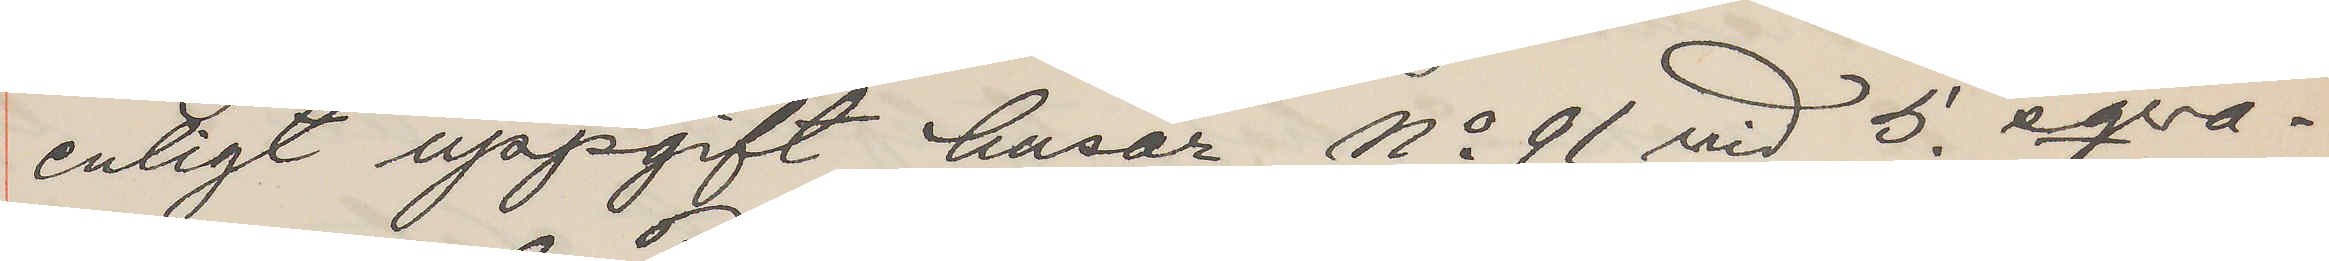enligt uppgift husar No 91 vid 5. sqva¬
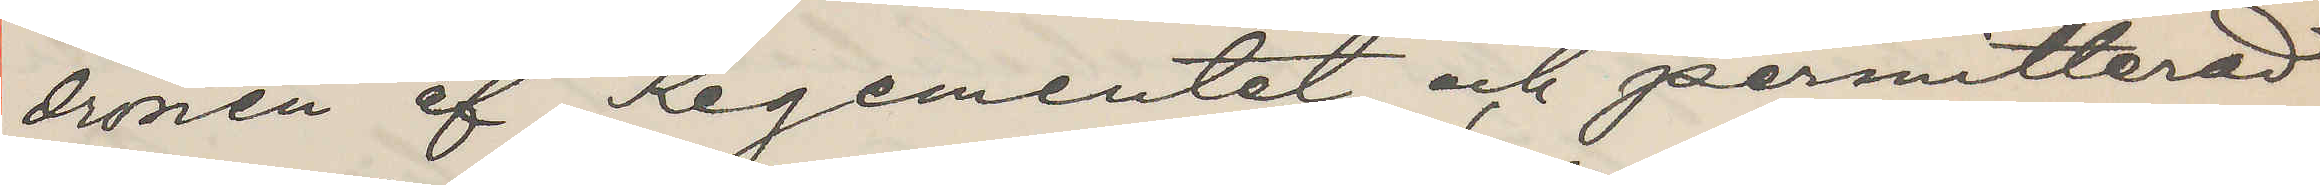dronen af Regementet och permitterad
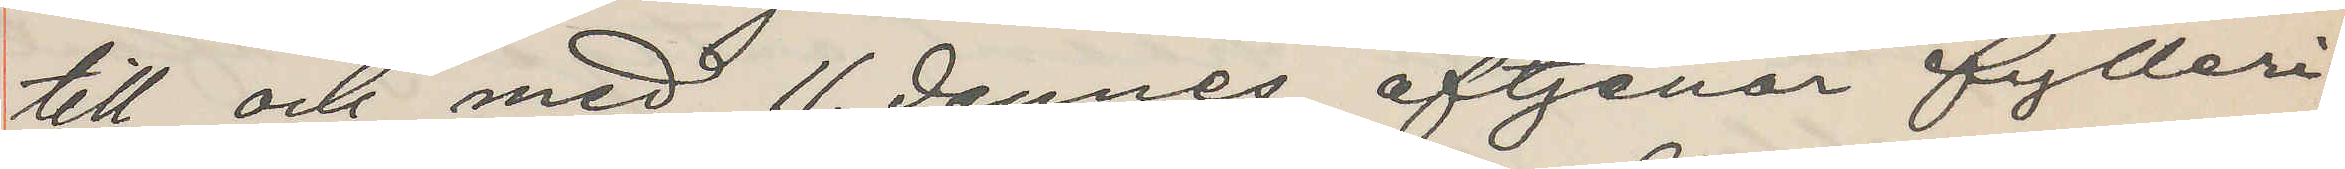till och med 11. dennes, aftjenar fylleri¬
